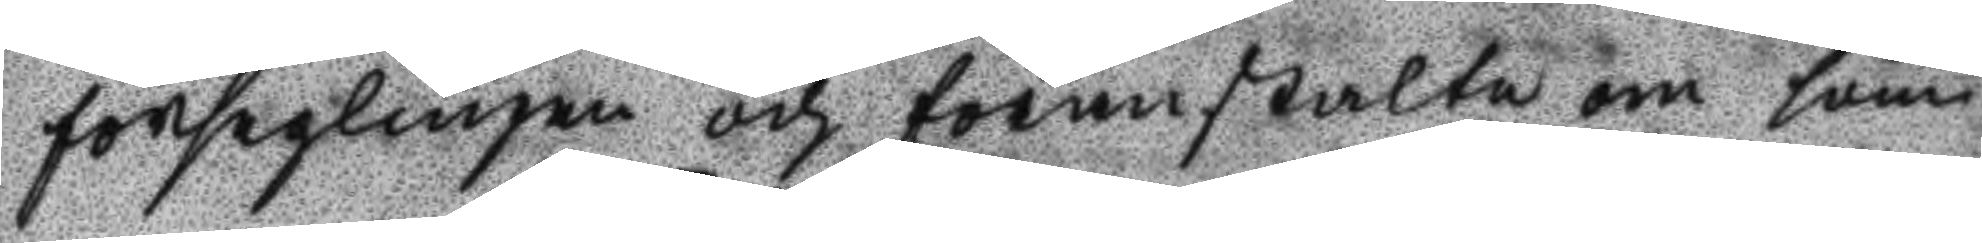förseglingen och föranstalta om söm¬
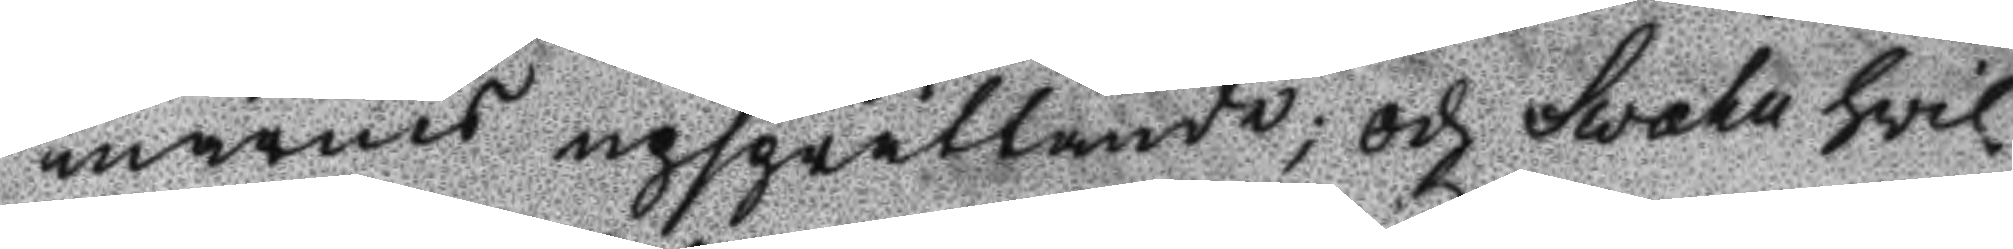marnes upsprättande; och Svahn hvil¬
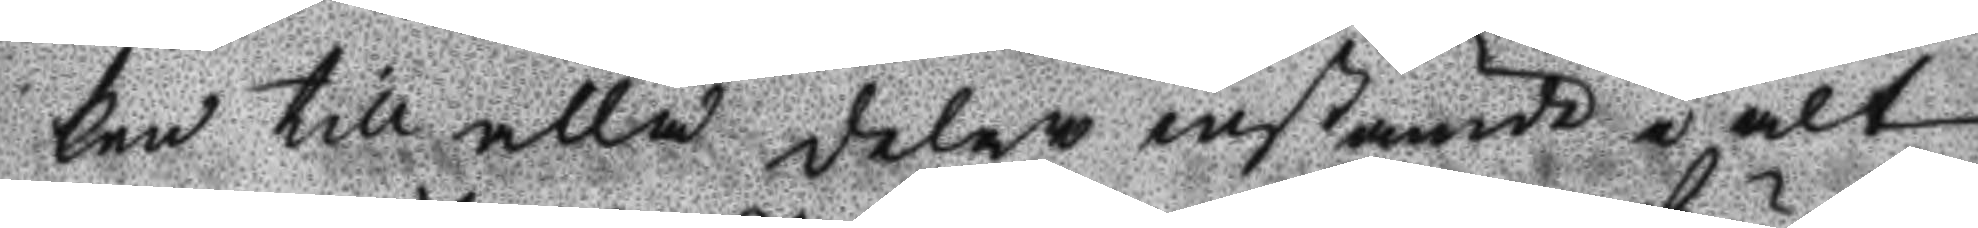ken till alla delar instämde i alt
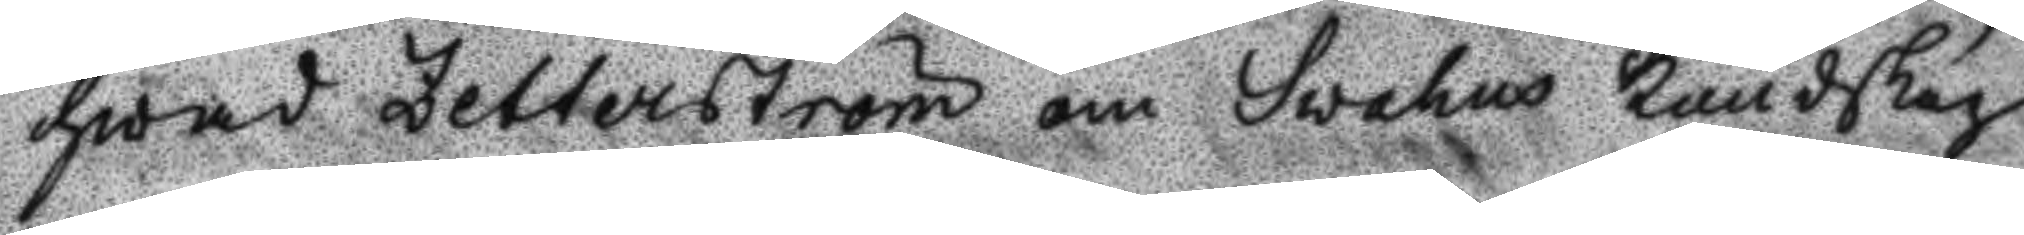hwad Zetterström om Svahns kundskap
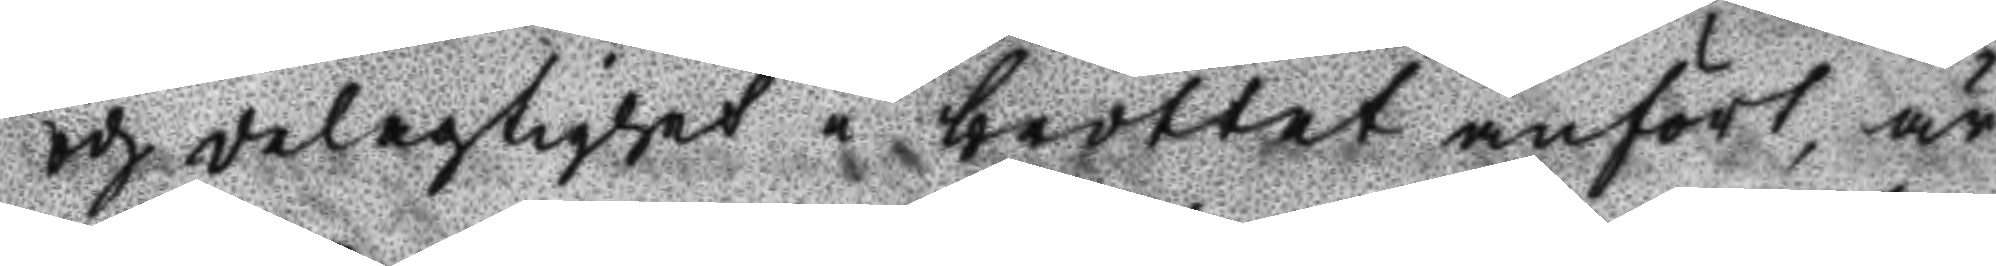och delagtighet i brottet anfört, är
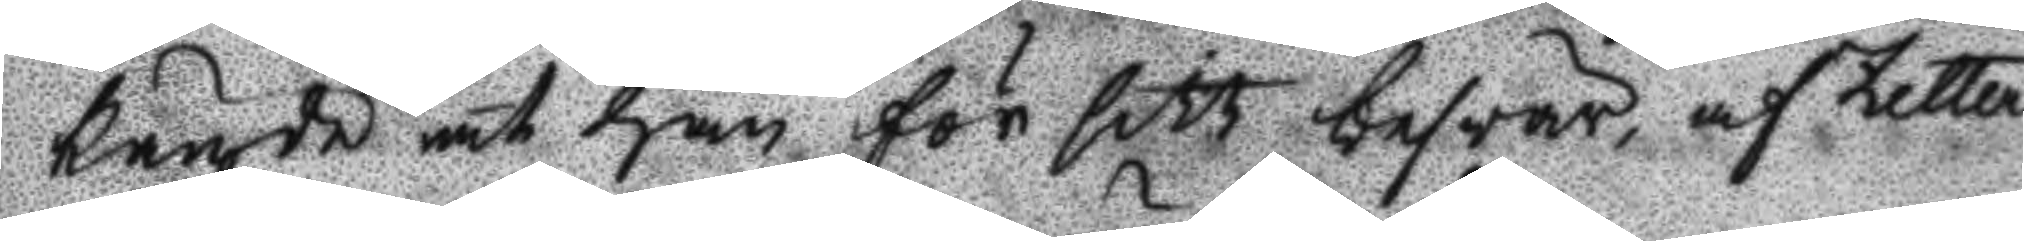kände at han för sitt besvär, af Zetter¬
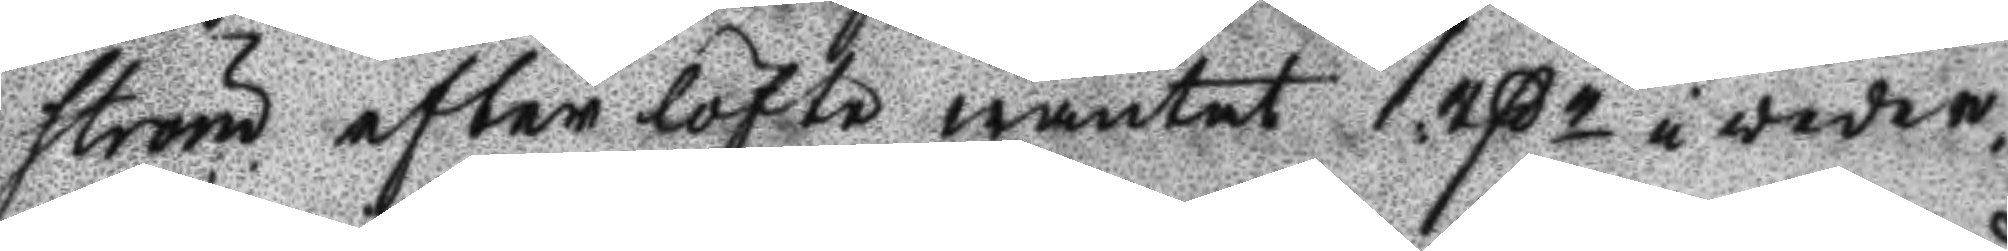ström efter löfte wäntat 1 rßr i veder¬
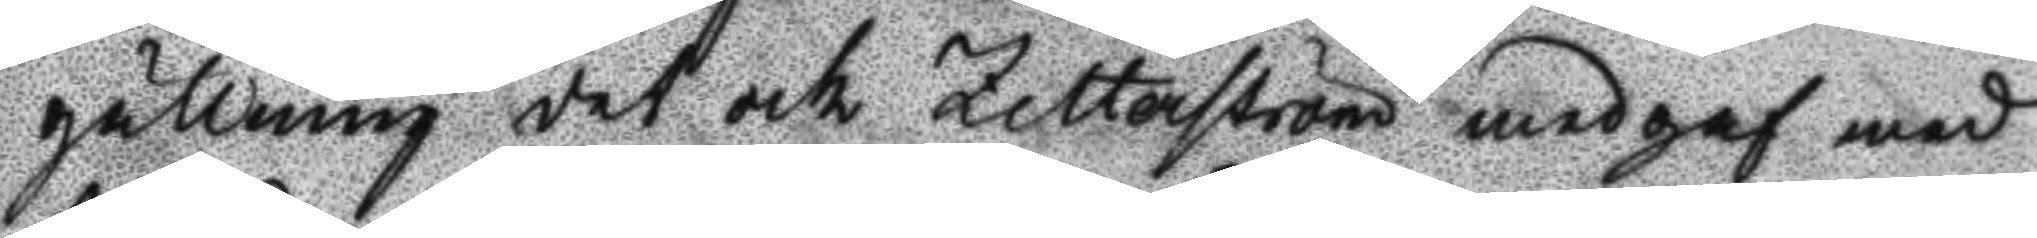gällning det och Zetterström medgaf med
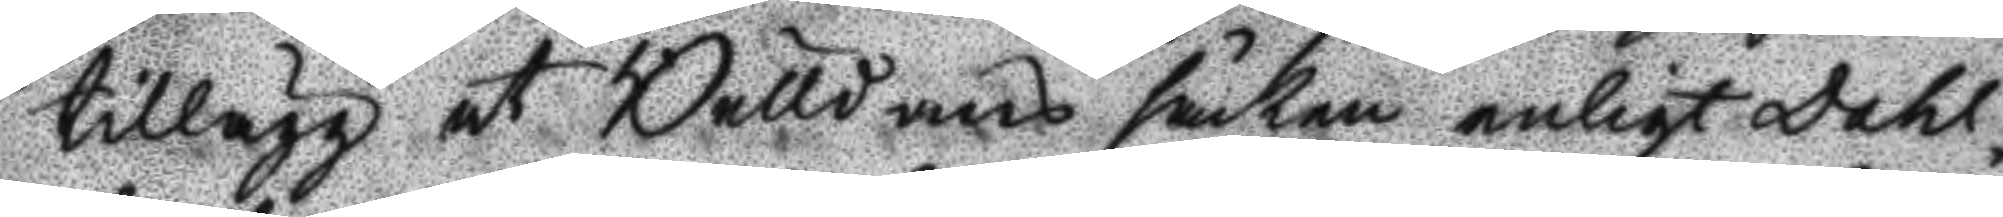tillägg at Bulldans säken enligt Dahl¬
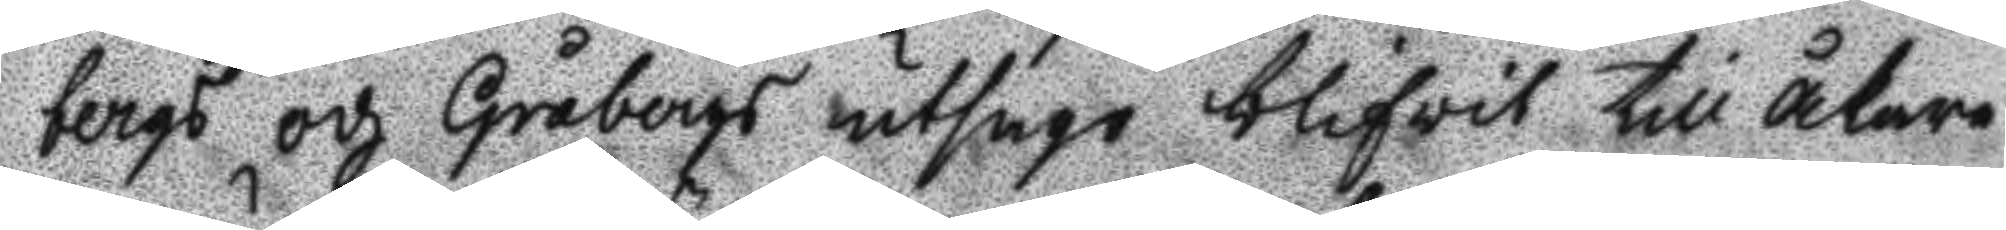bergs och Gråbergs utsago blifwit till åkare
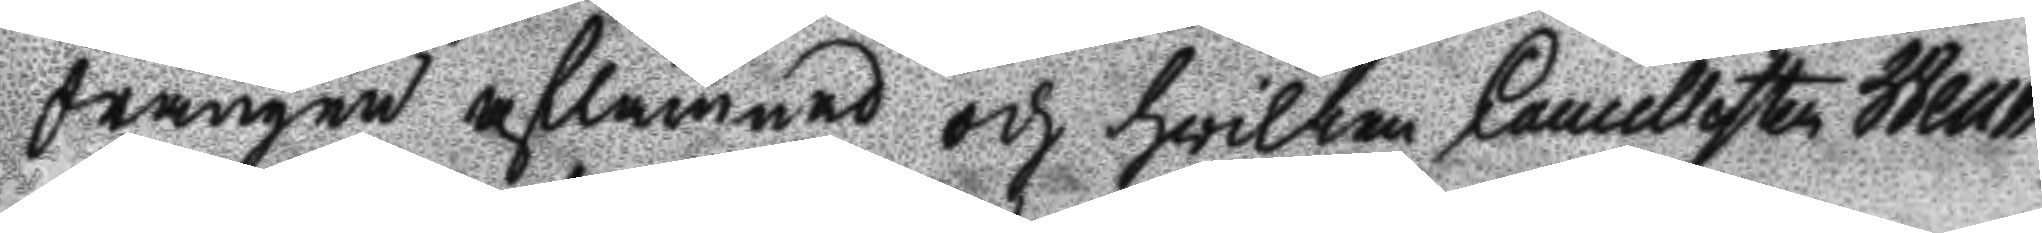drängen aflämnad och hwilken Cancellisten Wenn¬
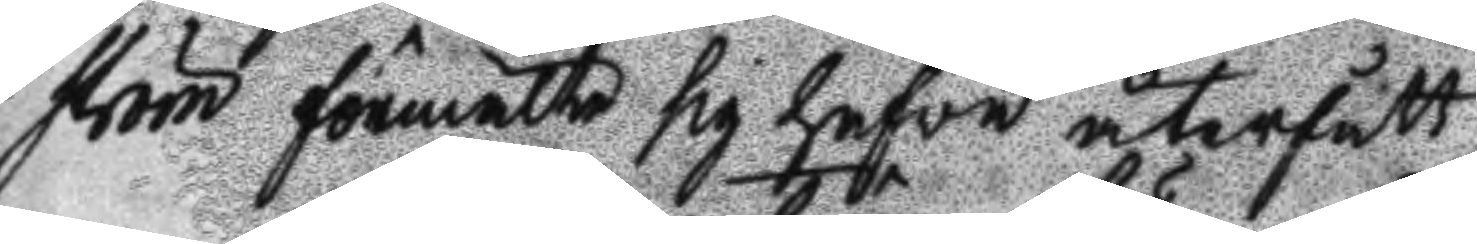ström förmälte sig hafwa återfått.
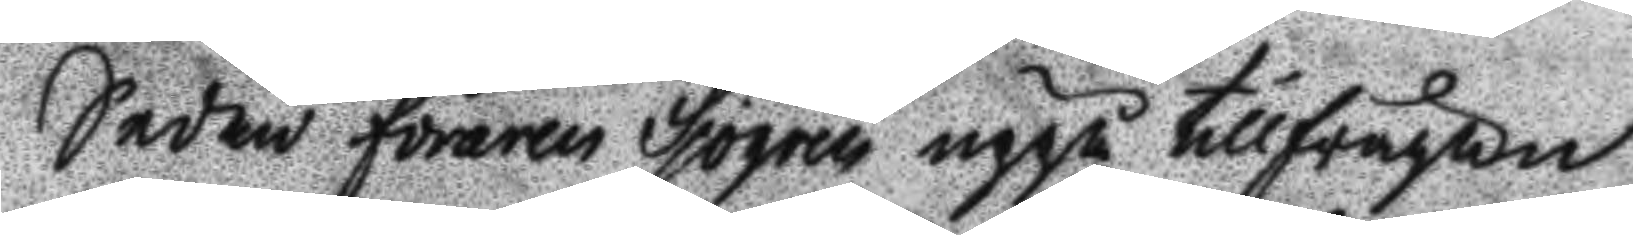Sedan föraren Sjögren uppå tillfrågan
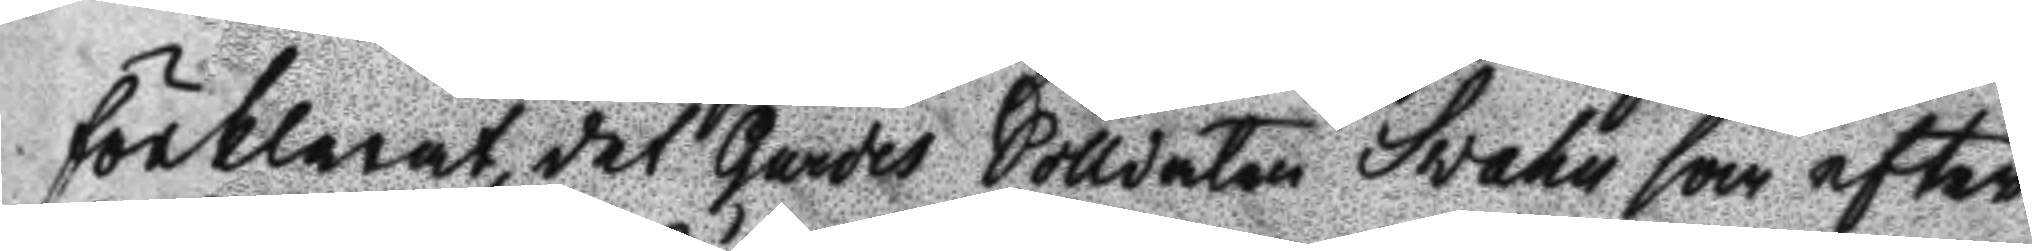förklarat det Gardes Solldaten Svahn som efter
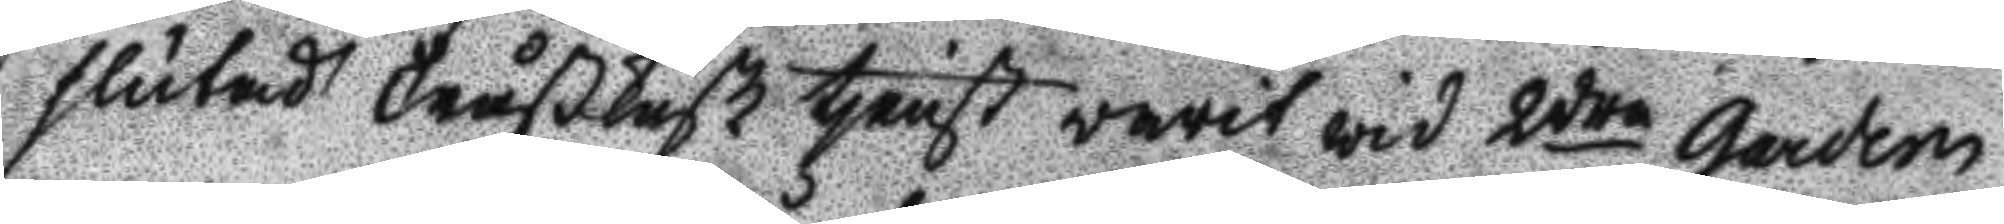slutad Tråßkusk tjenst warit wid 2dra Garden
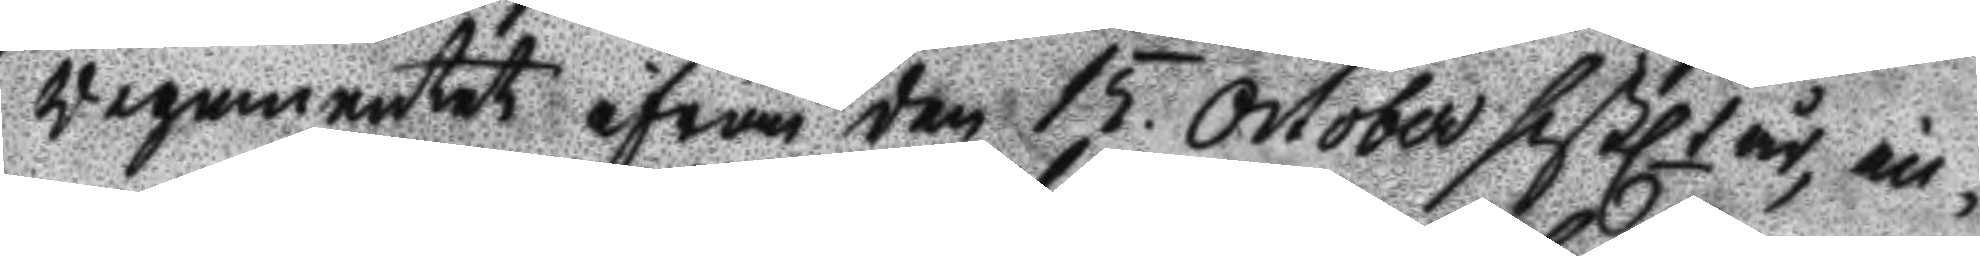Regementet ifrån den 15 October sistlt år, in¬
